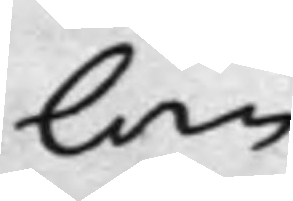lan
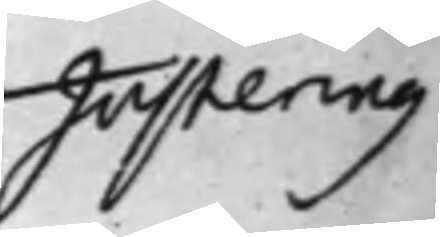Justering
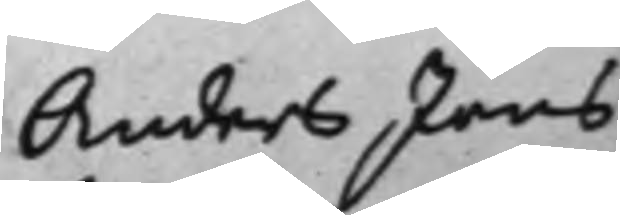Anders Jöns¬
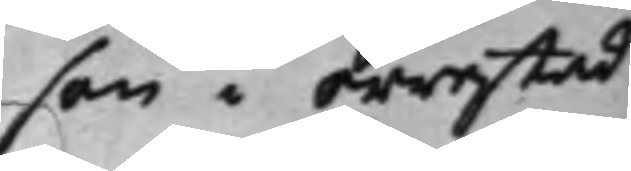son i Orrestad
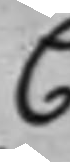C
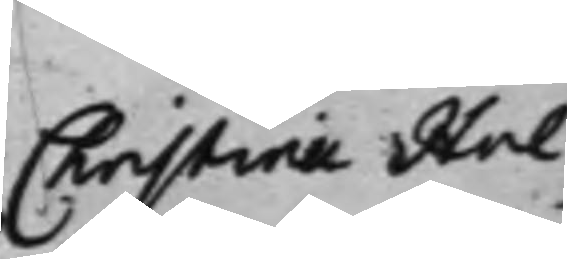Christina Hol¬
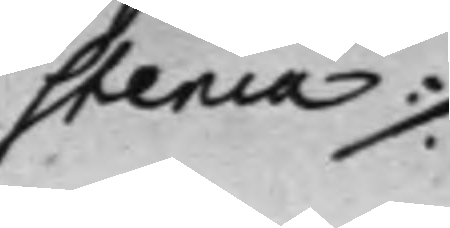stenia ./.
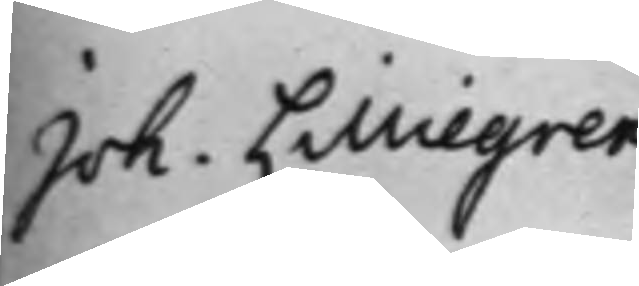Joh. Lilliegren
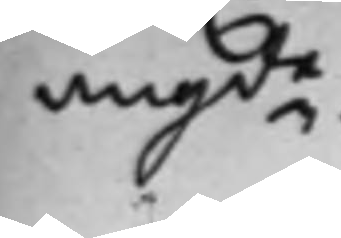angde.
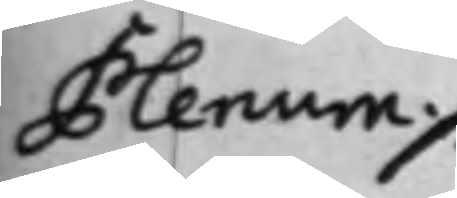Plenum ./.
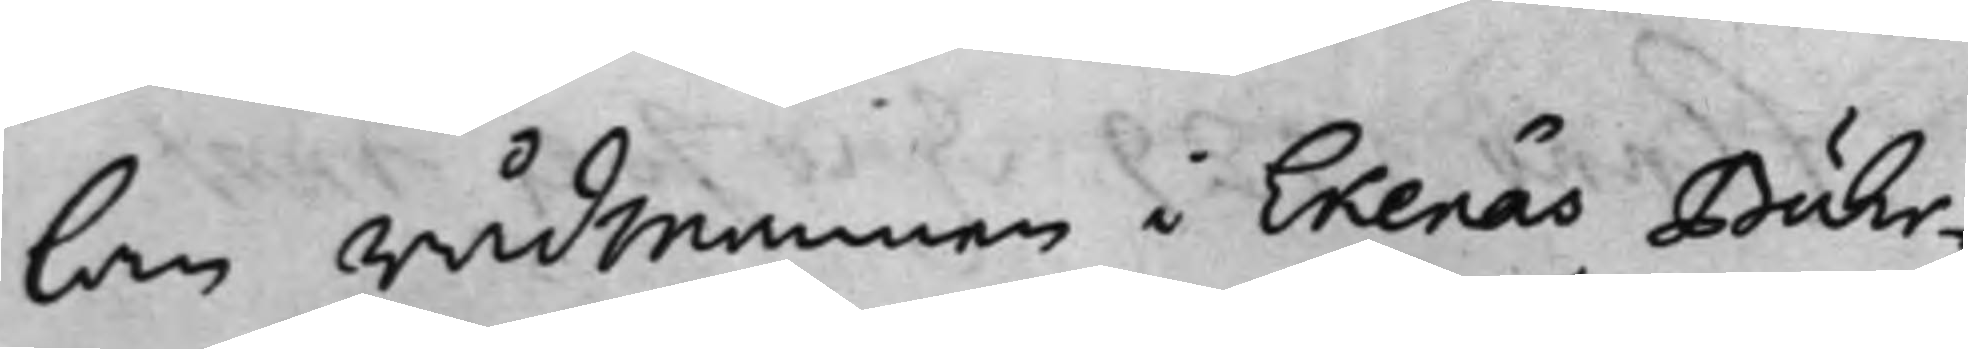lan rådmannen i Ekenäs Buhr¬
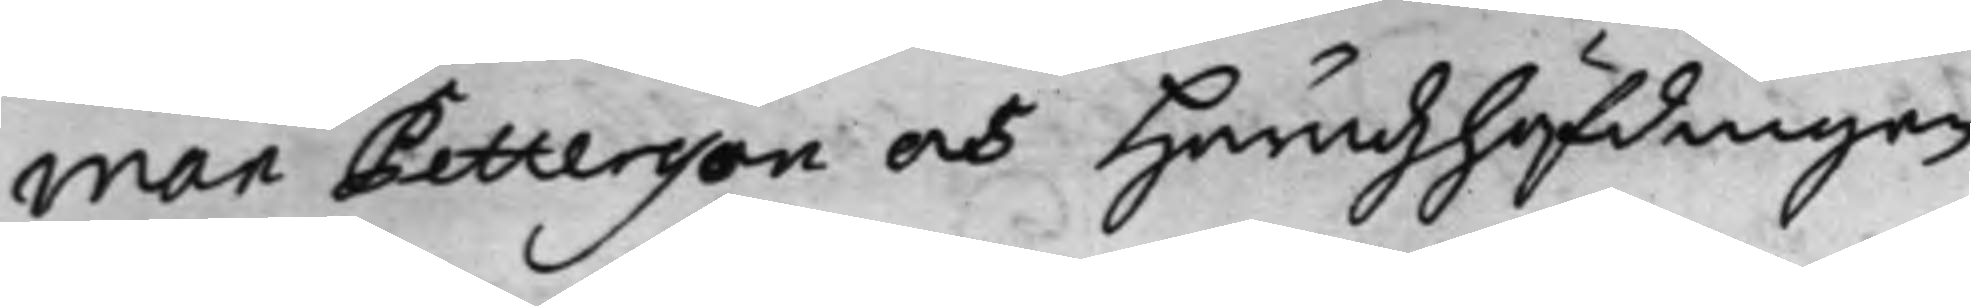man Pettersson och Häradzhöfdingen
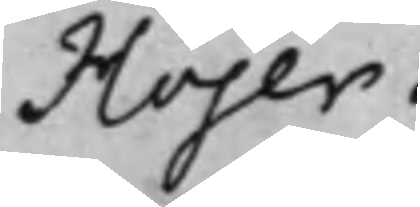Höjer.
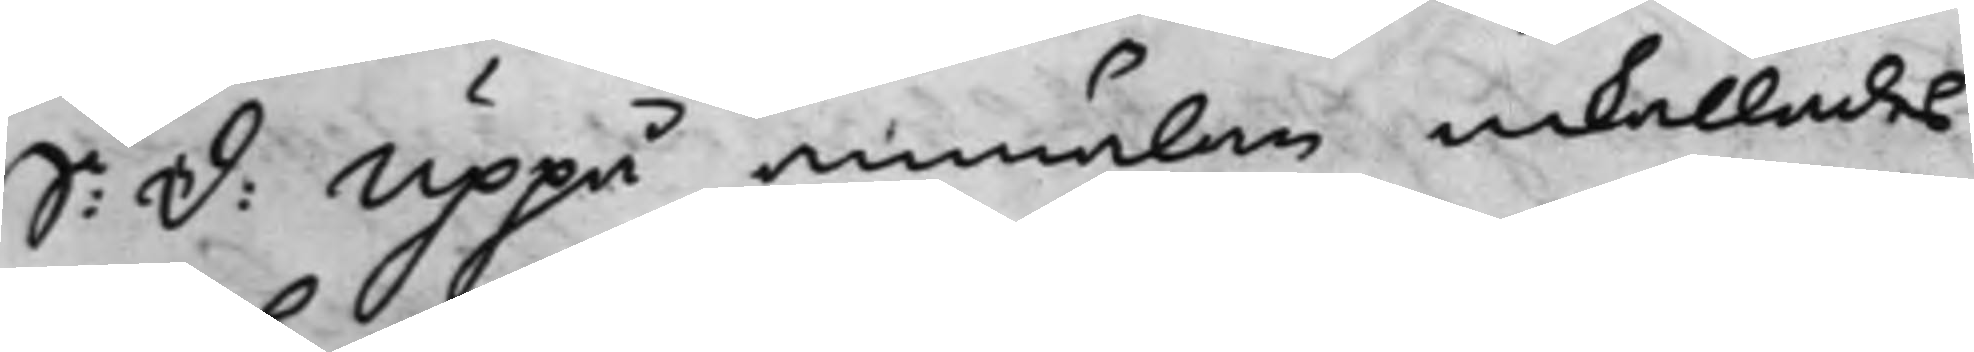S: d: Uppå anmälan inkallades
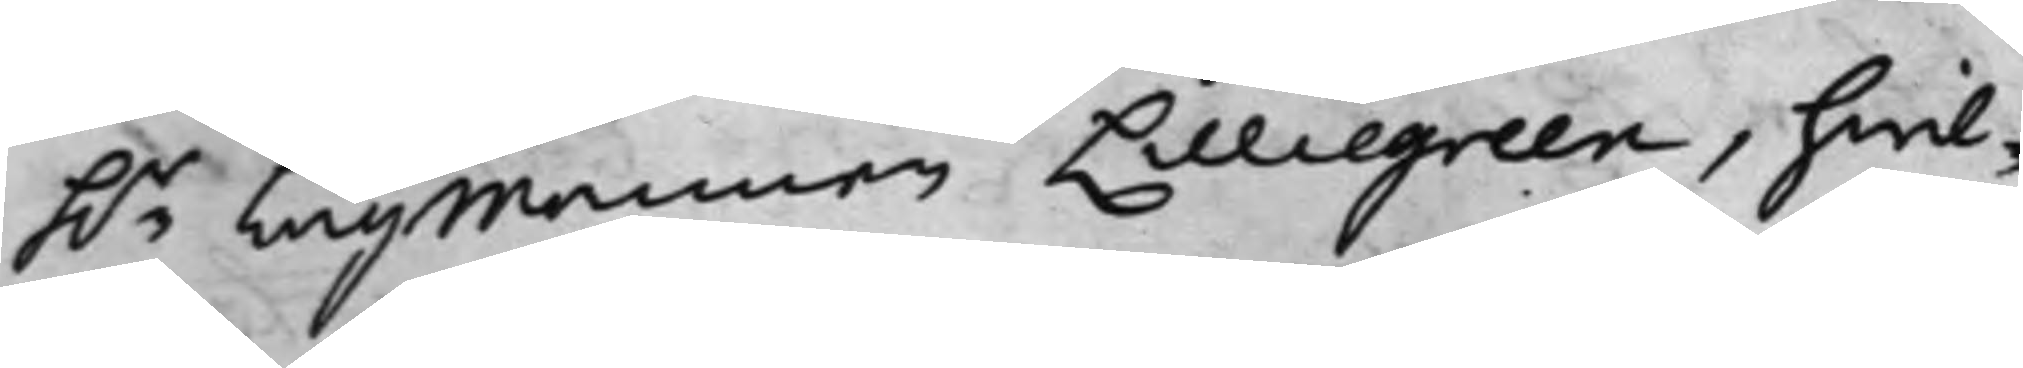h.r Lagmannen Lilliegren, hwil¬
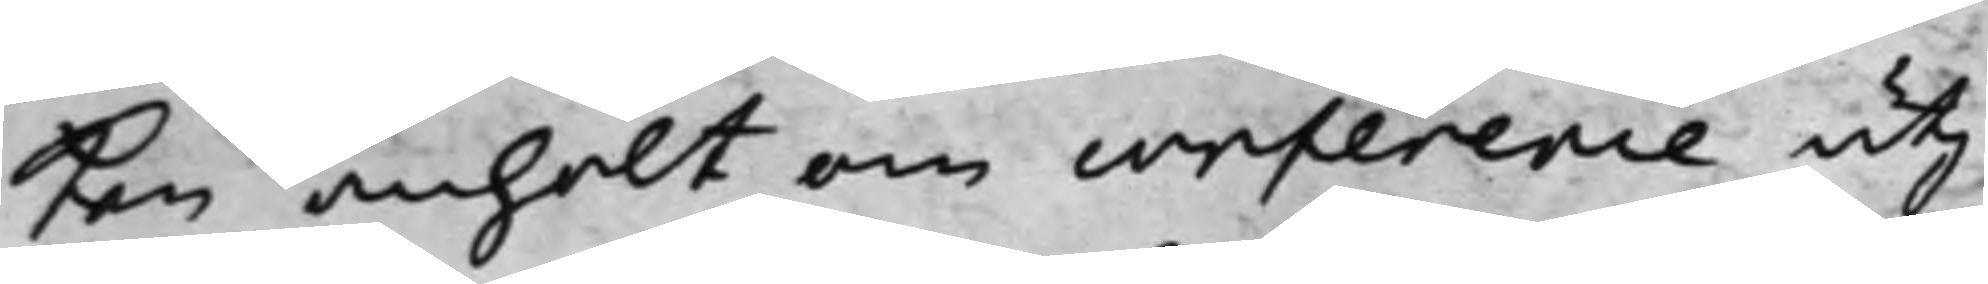ken anhölt om conference utj
